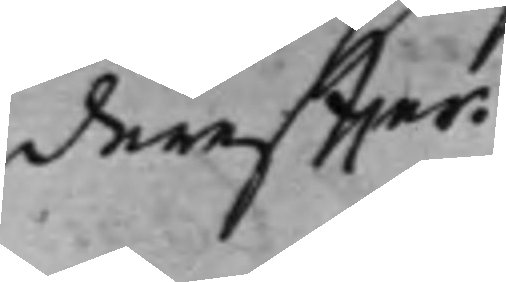dereffter.
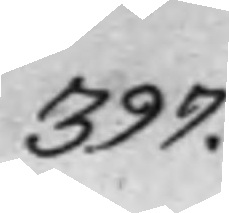397.
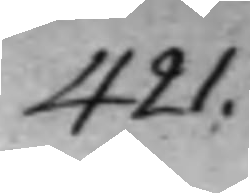421.
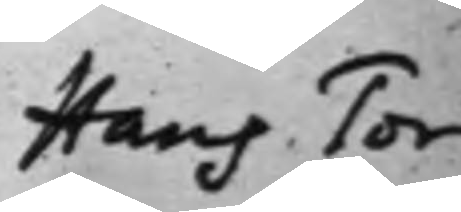Hans Tor¬
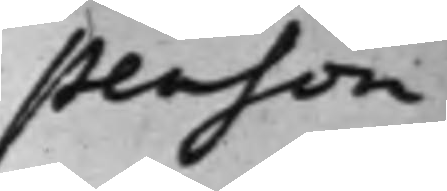stenson
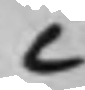C
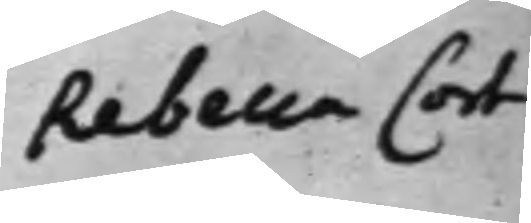Rebeca Cort¬
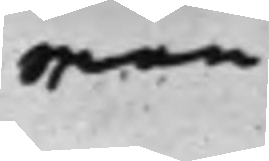man.
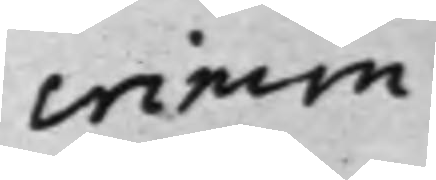crimin.
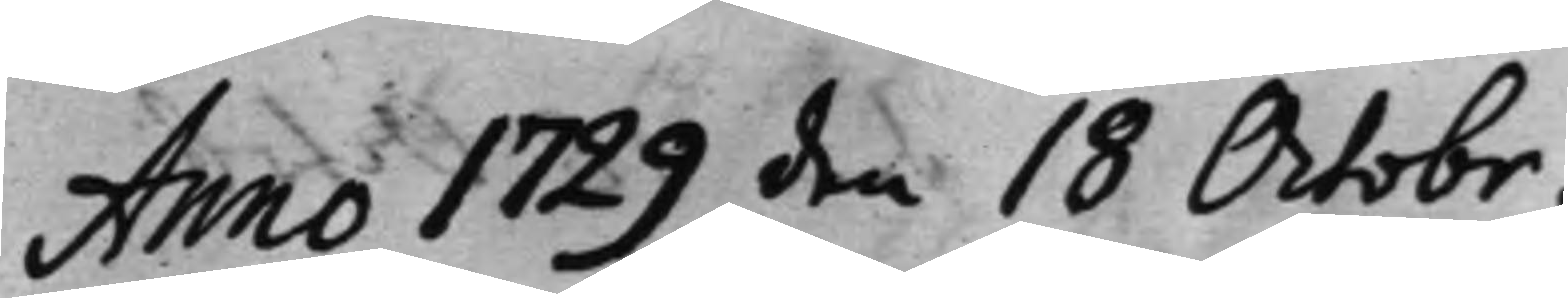Anno 1729 den 18 Octobr.
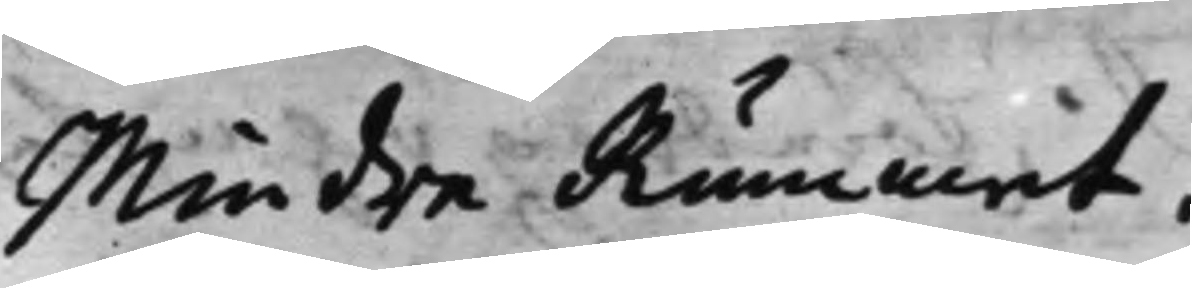Mindre Rummet.
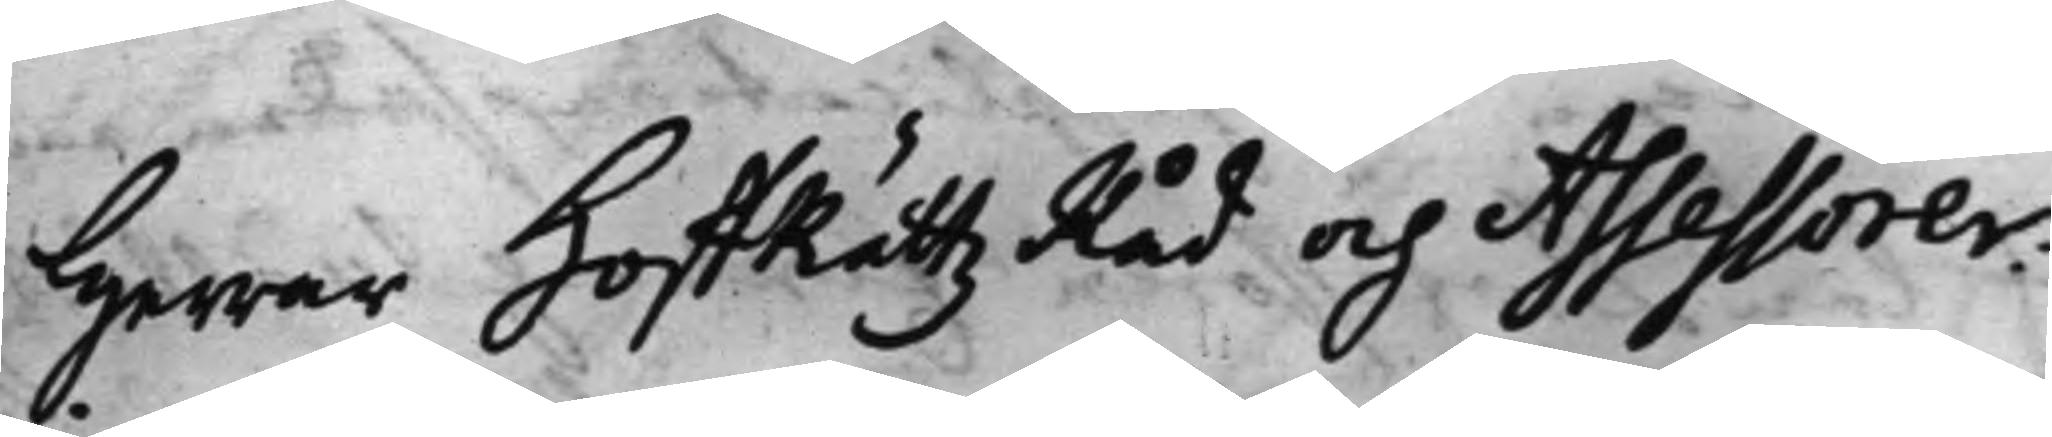Herrar HofRättz Råd och Assessorer:
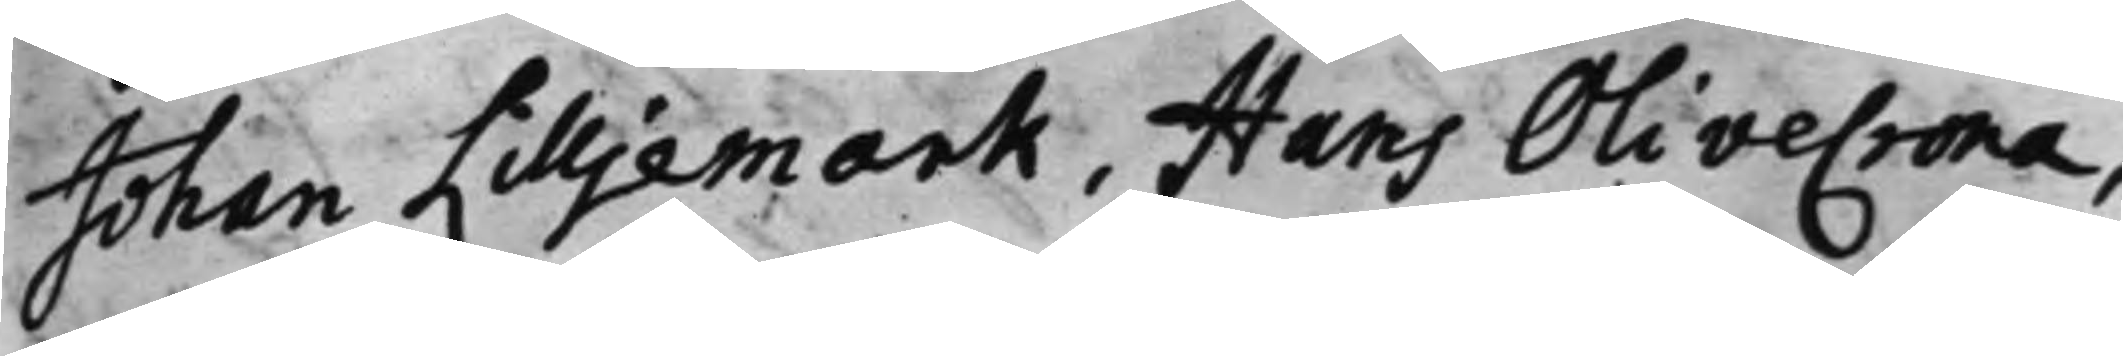Johan Lilljemark, Hans Olivecrona,
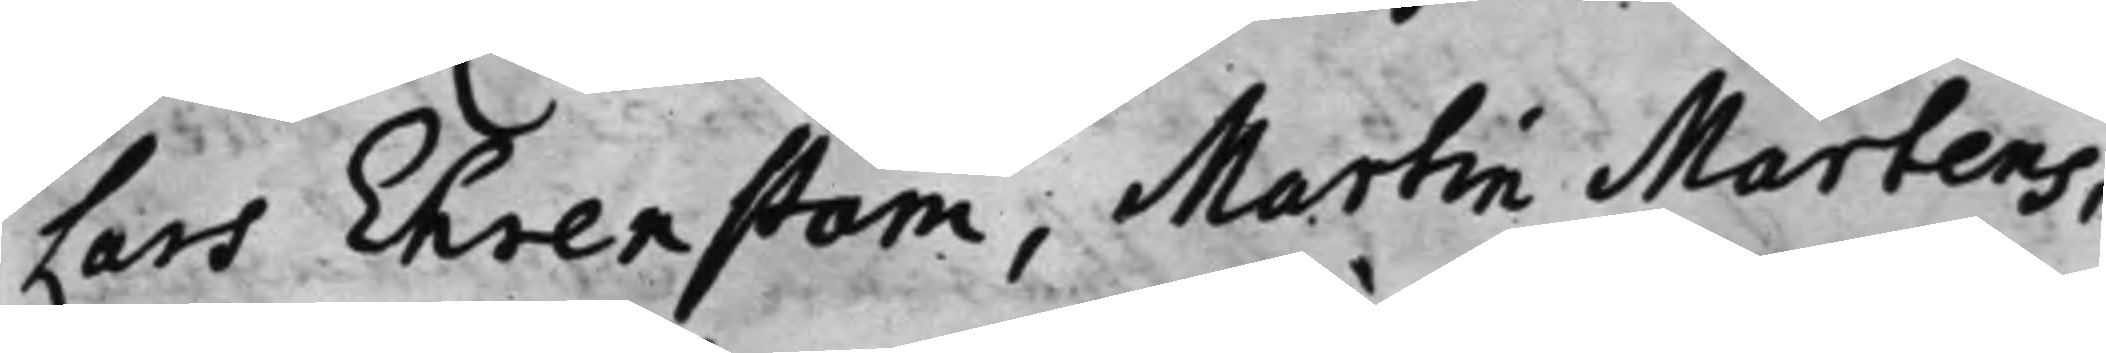Lars Ehrenstam, Martin Martens,
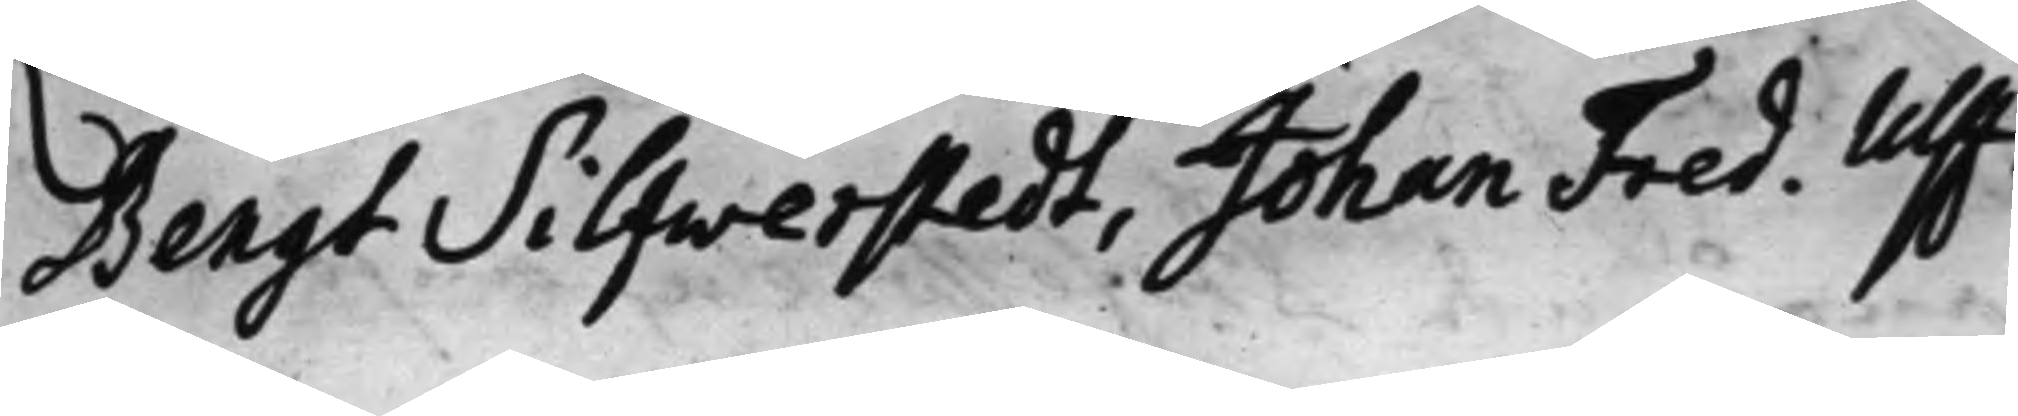Bengt Silfwerstedt, Johan Fred. Ulff.
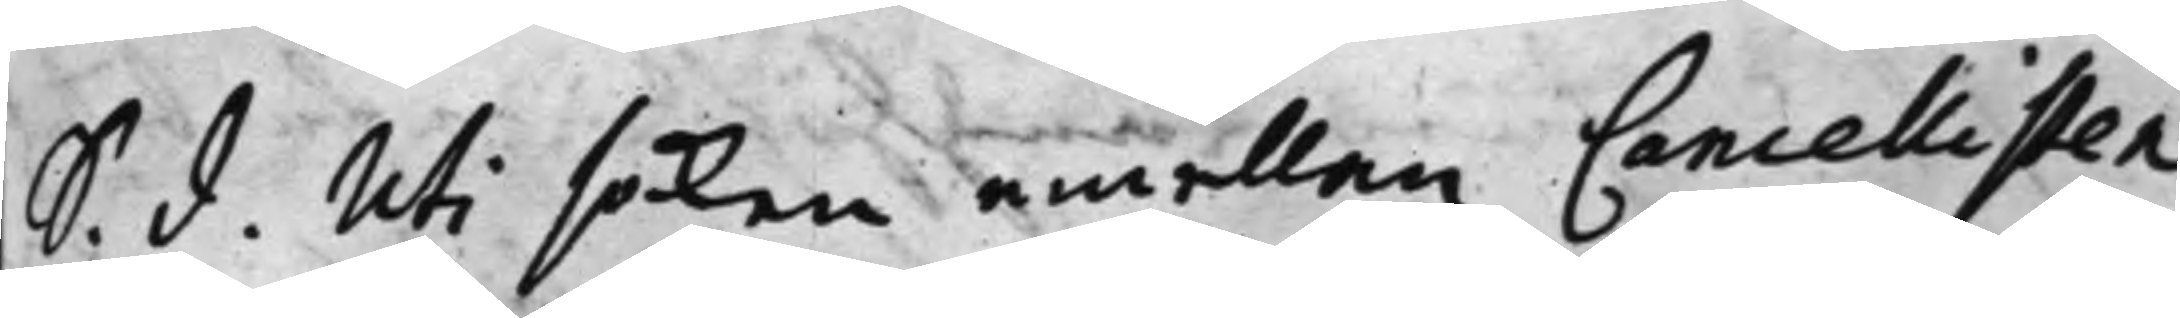S. d. Uti saken emellan Cancellisten
